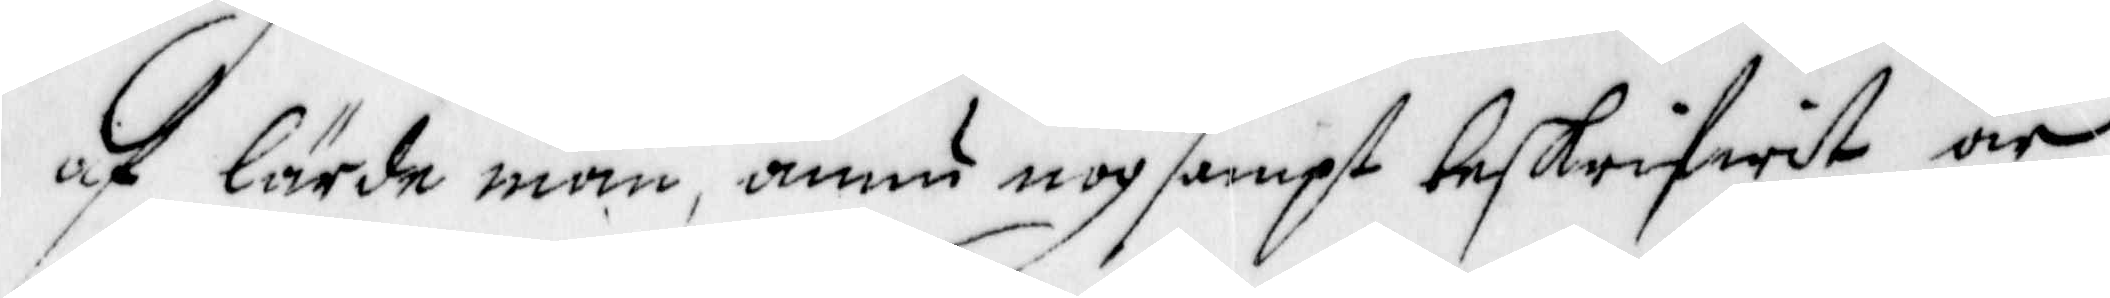af lärde män, ännu nogsampt beskrifwit är,
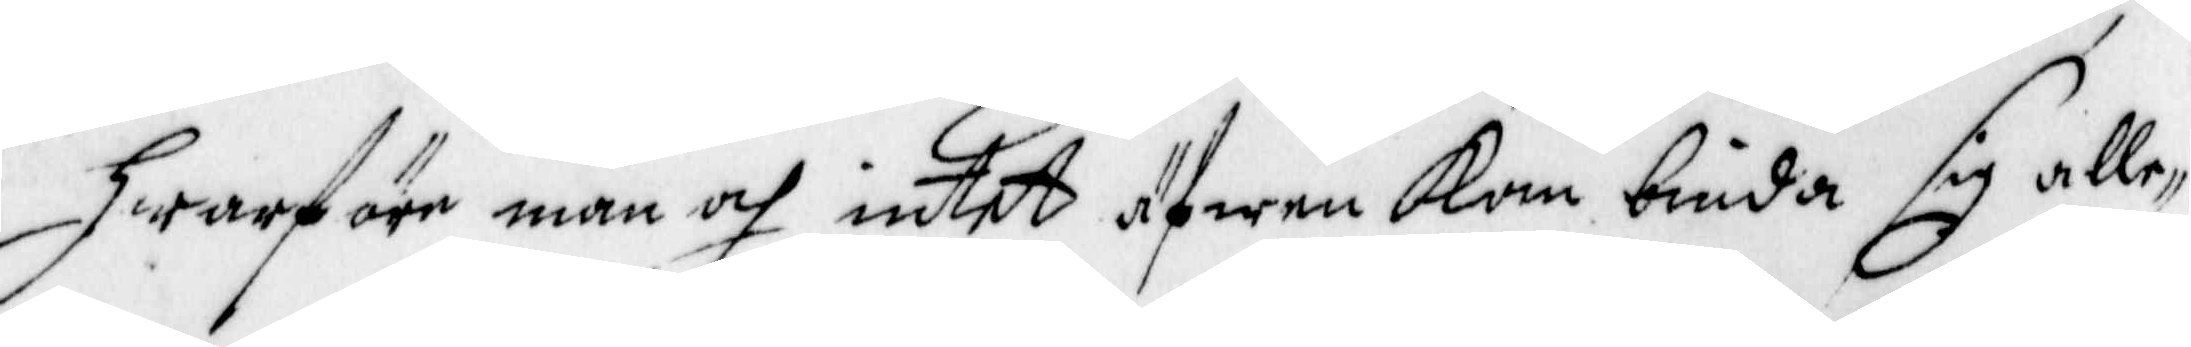hwarföre man och intet äfwen kan buida sig alle¬
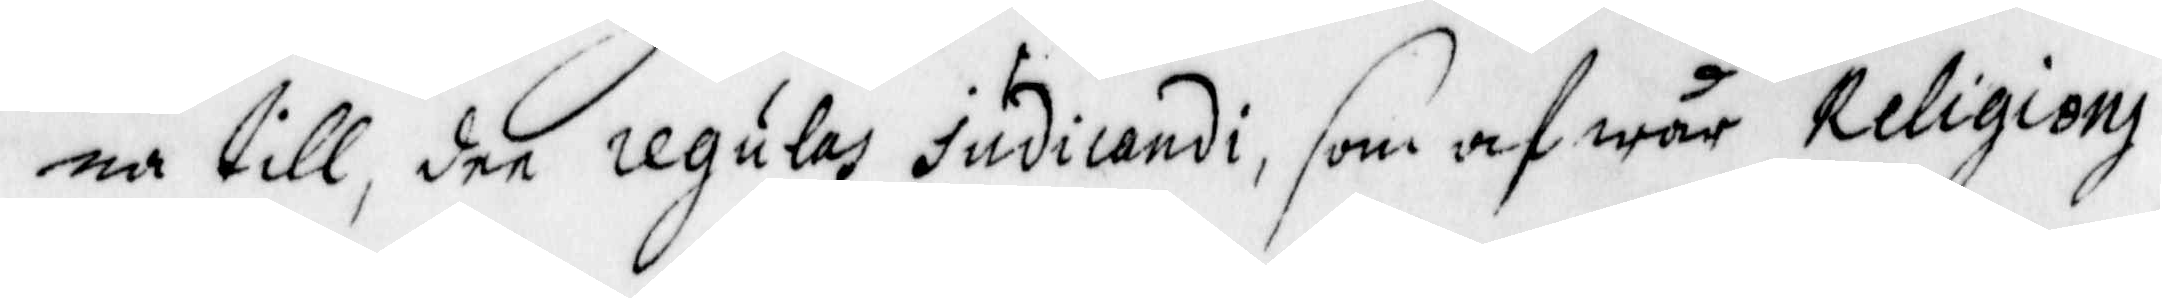na till, dee regulas indicandi, som af wår Religion
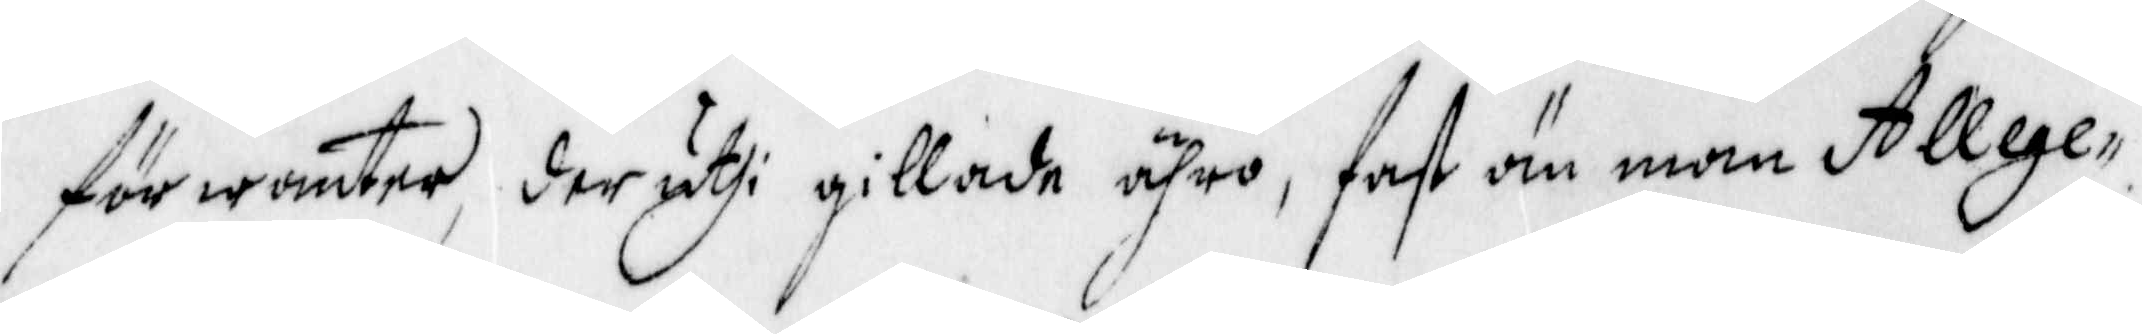förwäntar, der uthi gillade äro, fast än man Allege¬
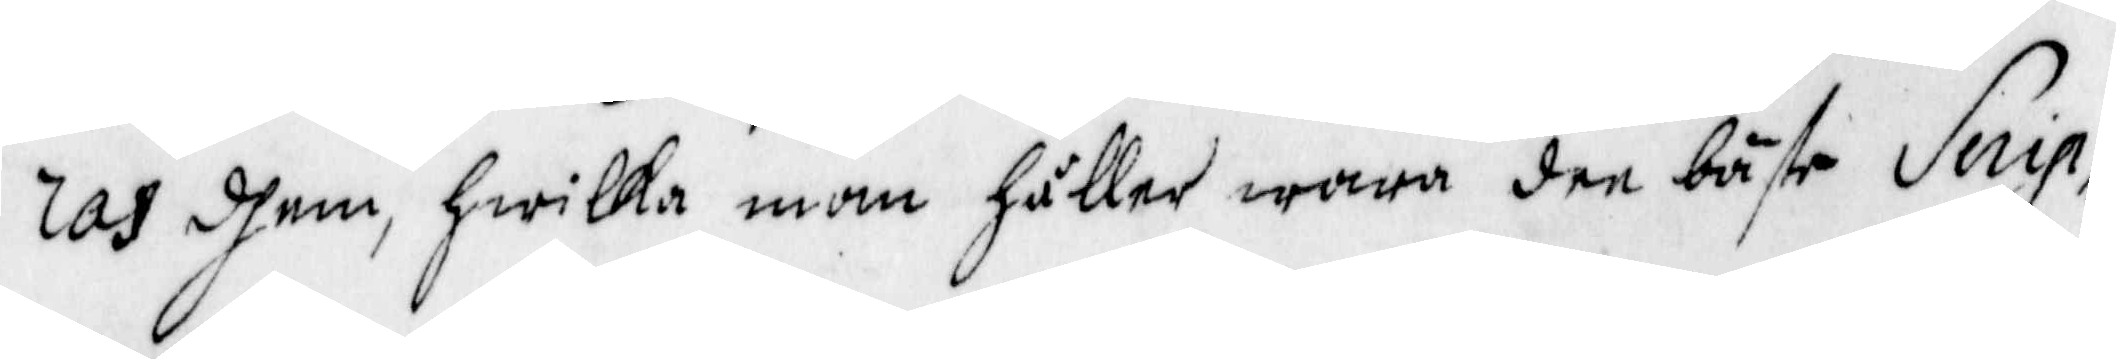ras dhem, hwilka man håller wara dee bäste Serip¬
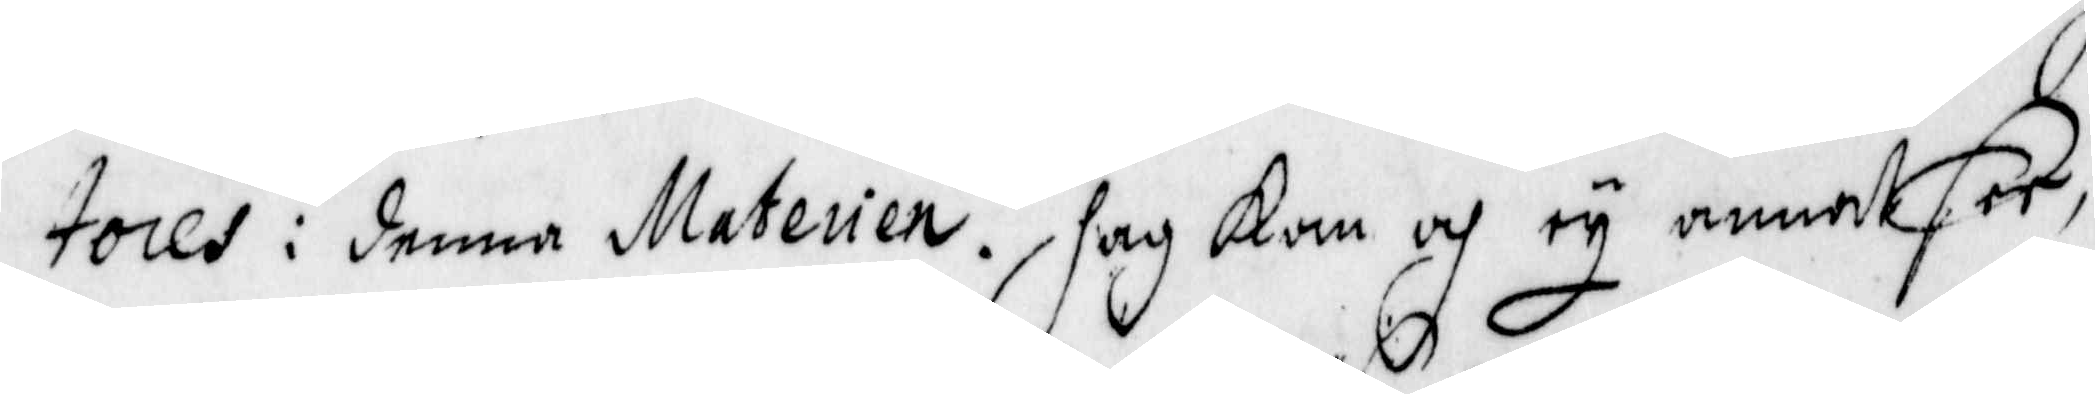tores i denna Materien. Jag Kan och ey annat see,
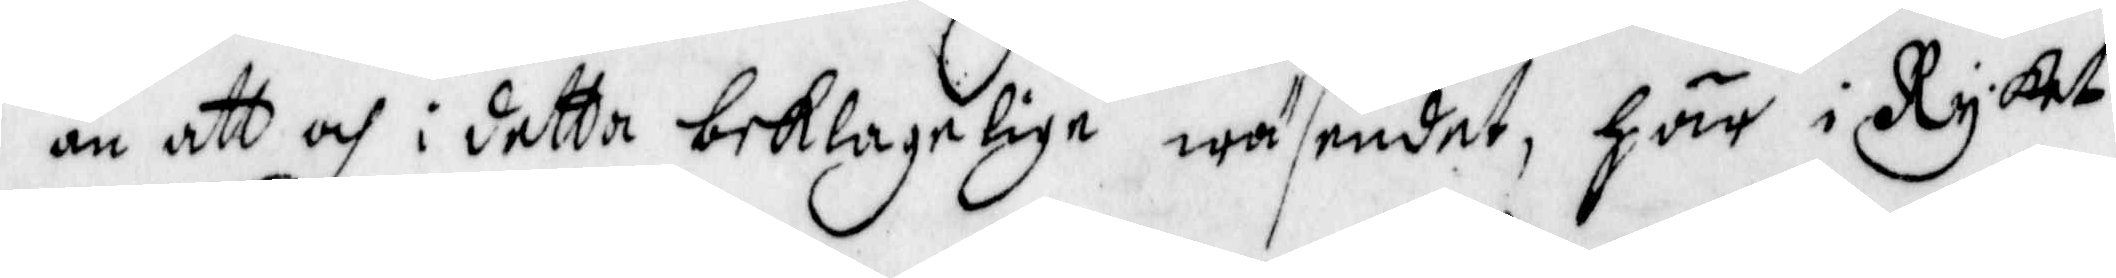än att och i detta beklagelige wäsendet, här i Ryket
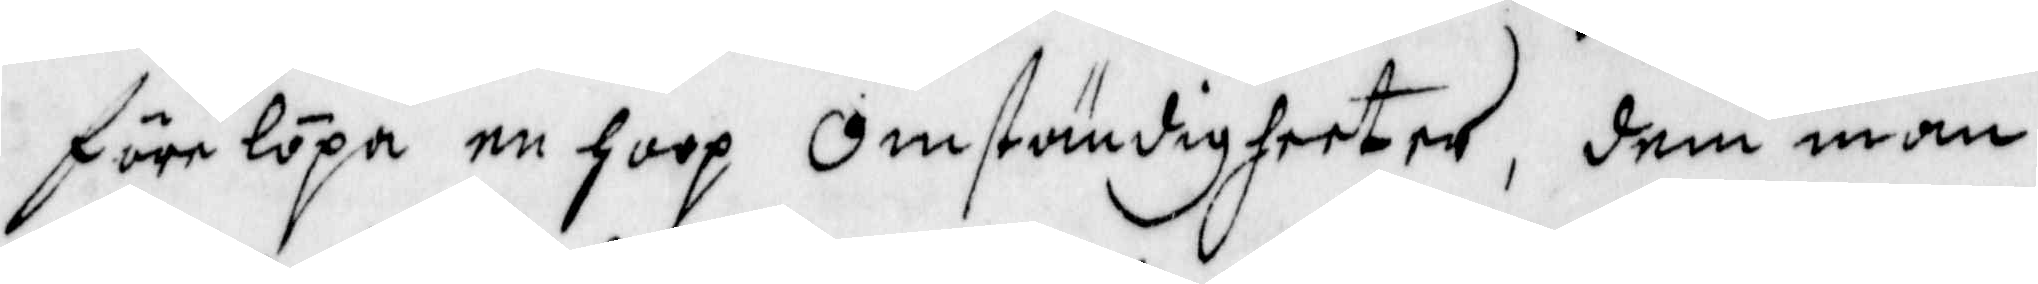förelöpa en hoop Omständigheter, dem man
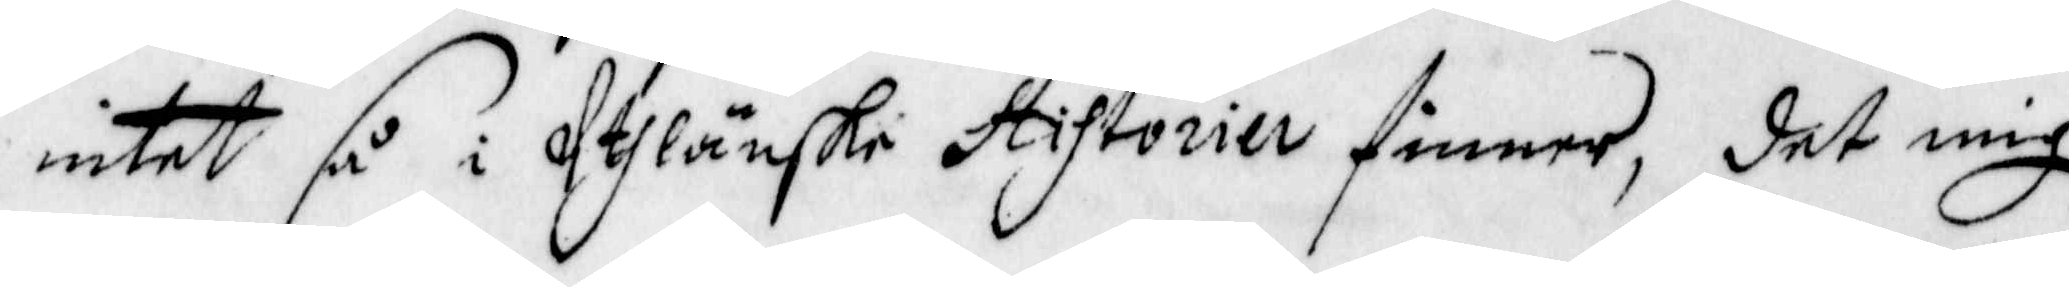intet så i Uthlänske Stiftorier finner, det mig
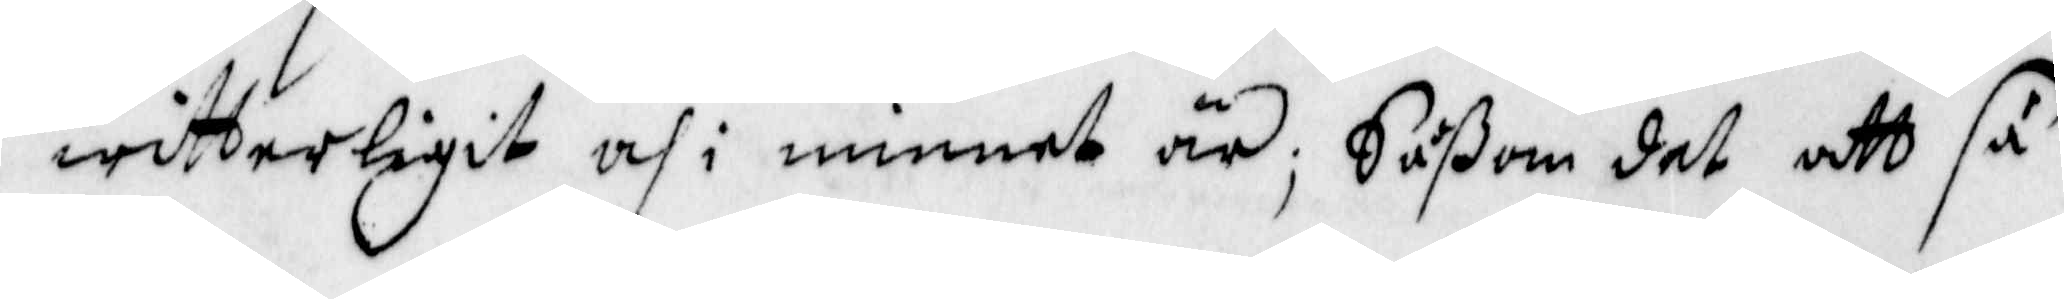witterligit och i minnet är; Såßom det att så
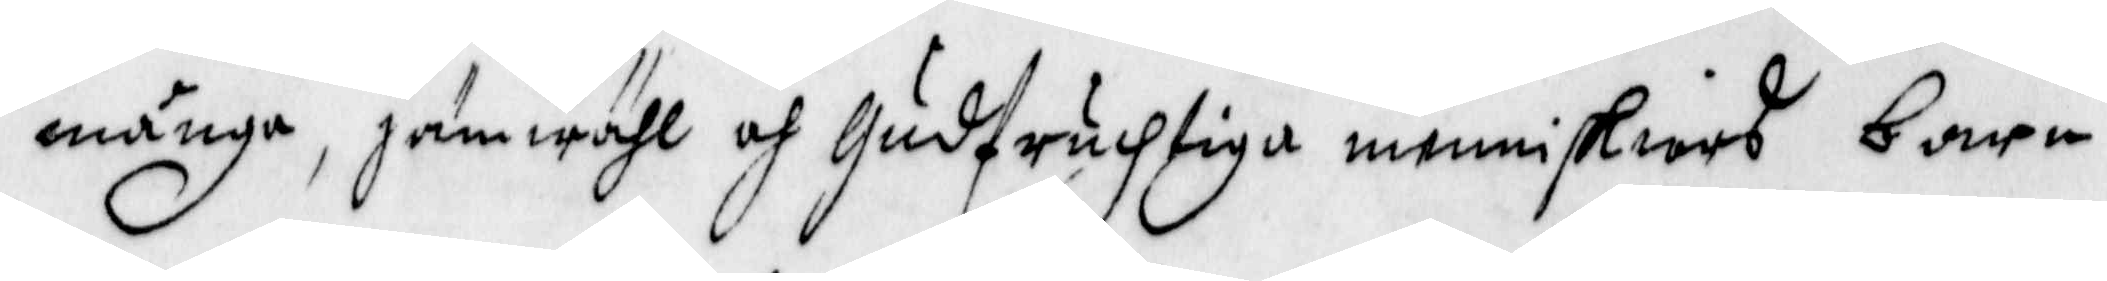många, jämwähl och Gudfrucktiga menniskiors barn
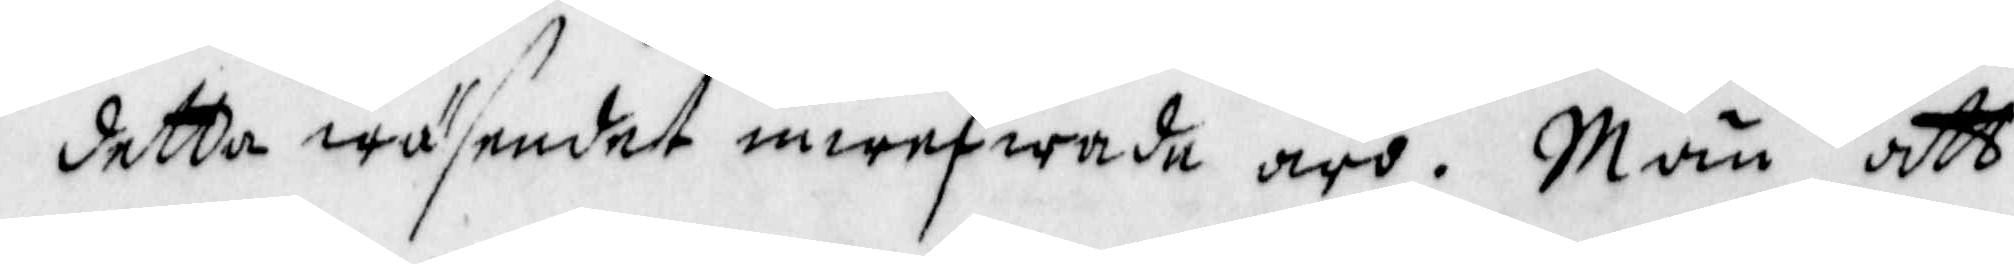i detta wäsendet inwefwade äro. Män att
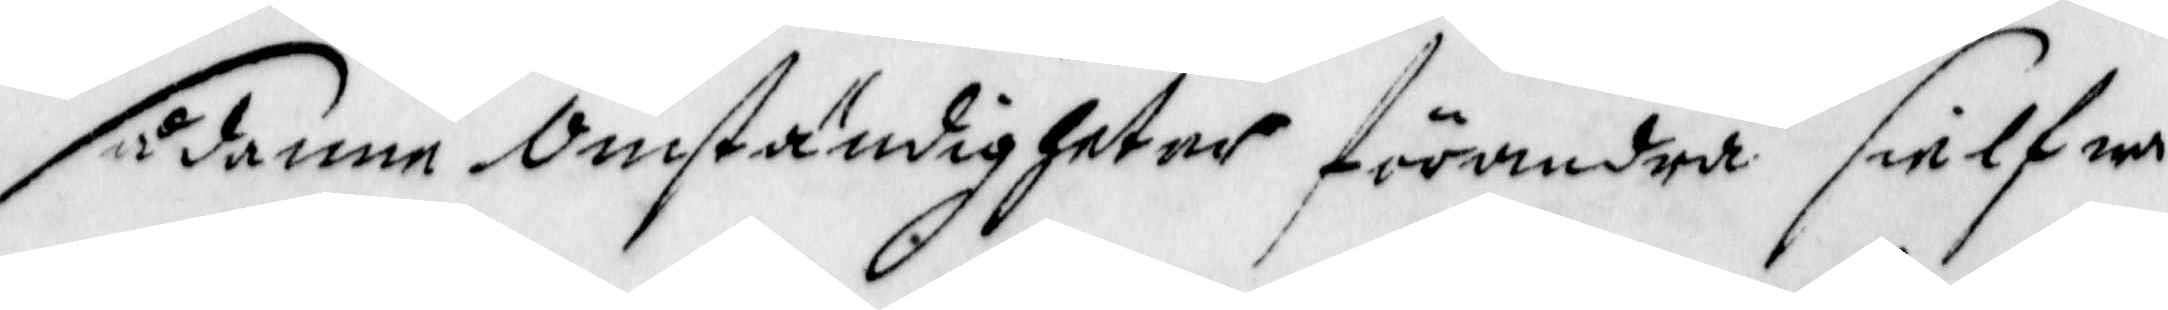sådanne Omständigheter förandra sielfwa
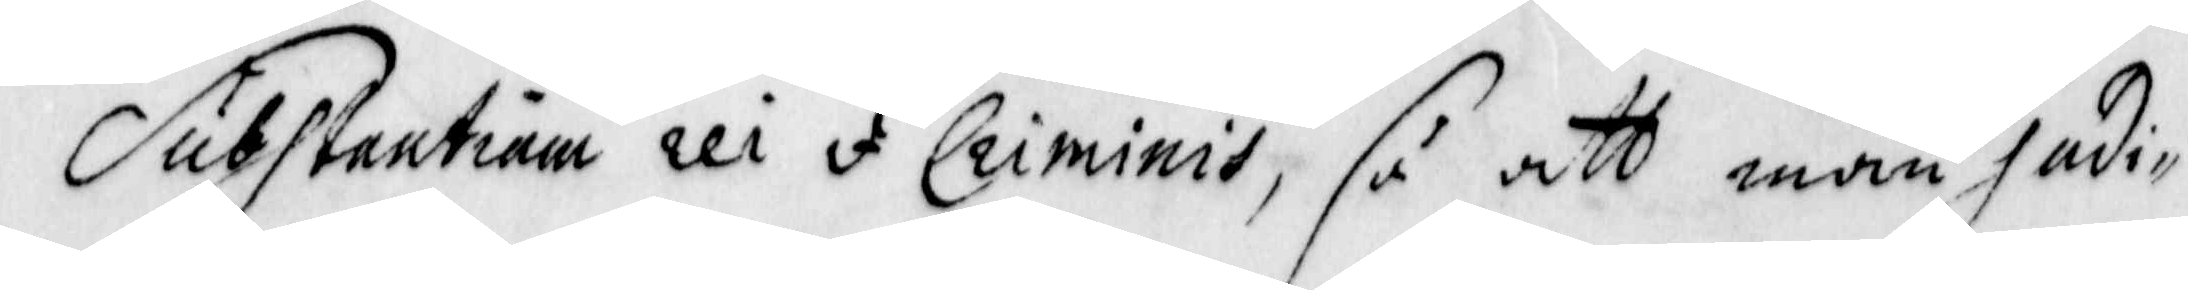Substantium rei I Criminis, så att man in judi¬
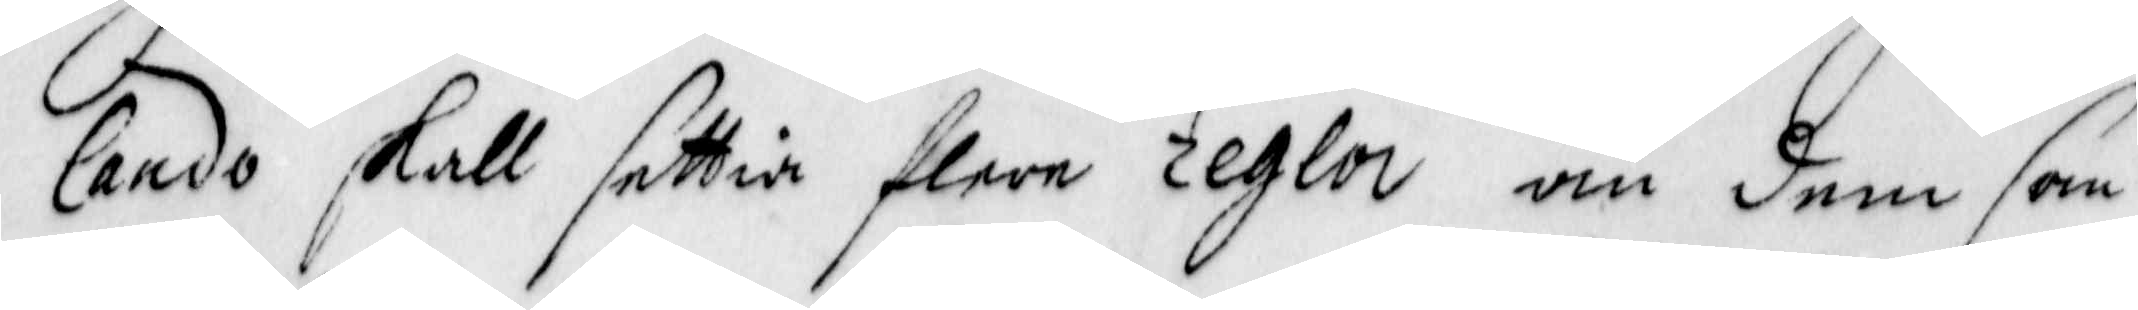lando skall settia flere regla än dem som
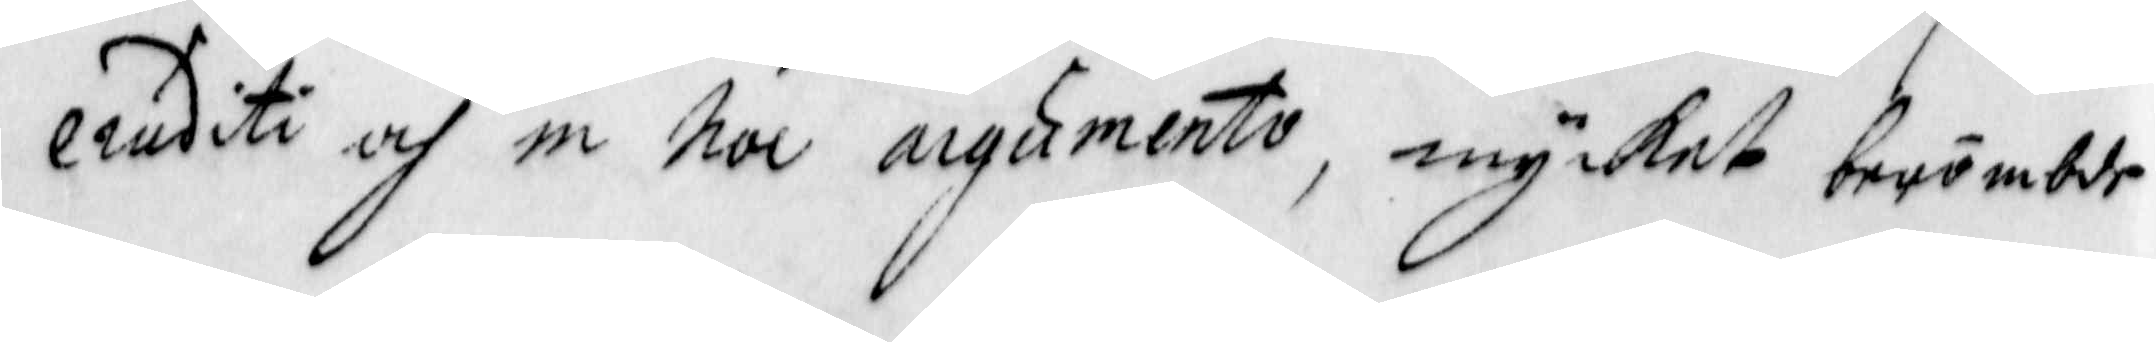eruditi och in hoc argumento, mycket berömbde
